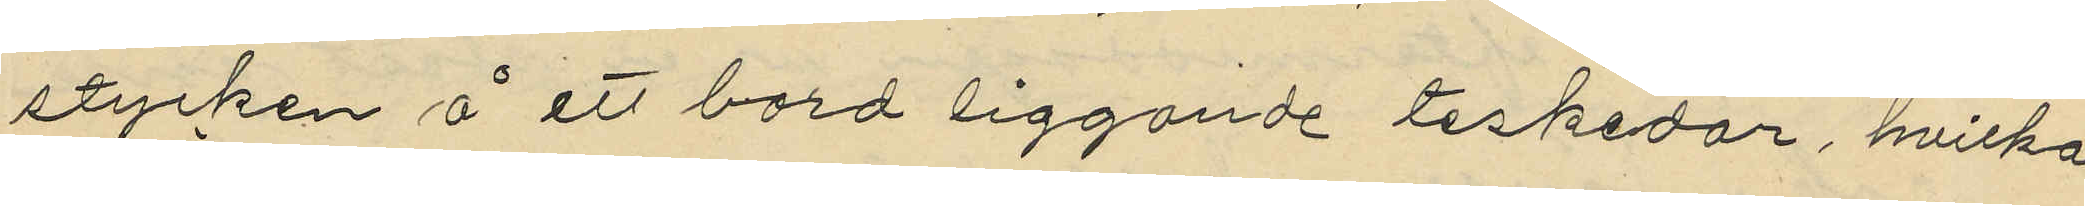stycken å ett bord liggande teskedar, hvilka
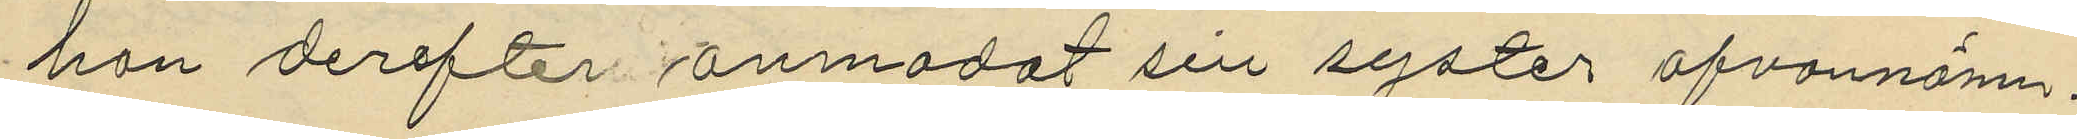hon derefter anmodat sin syster ofvannämn¬
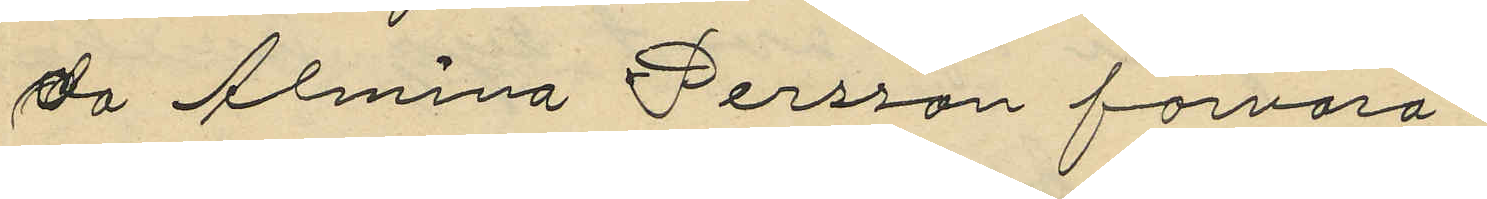då Almina Persson förvara
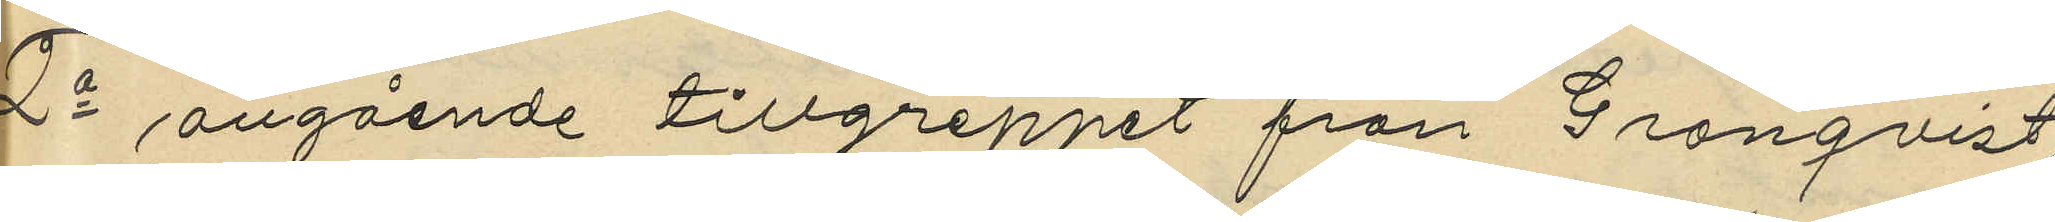2o angående tillgreppet från Grönqvist
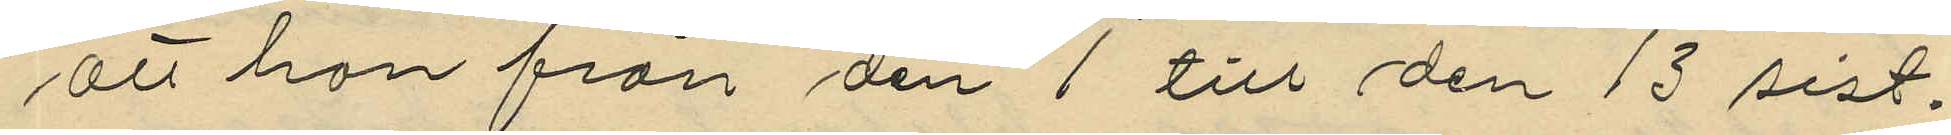att hon från den 1 till den 13 sist¬
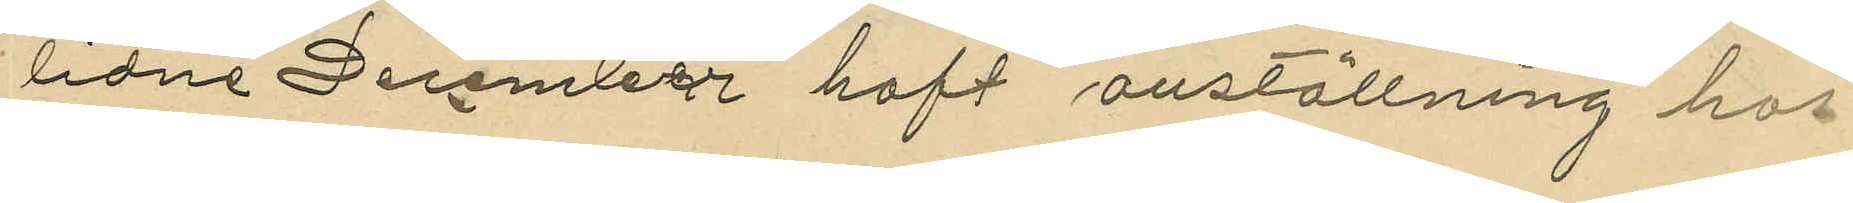lidne December haft anställning hos
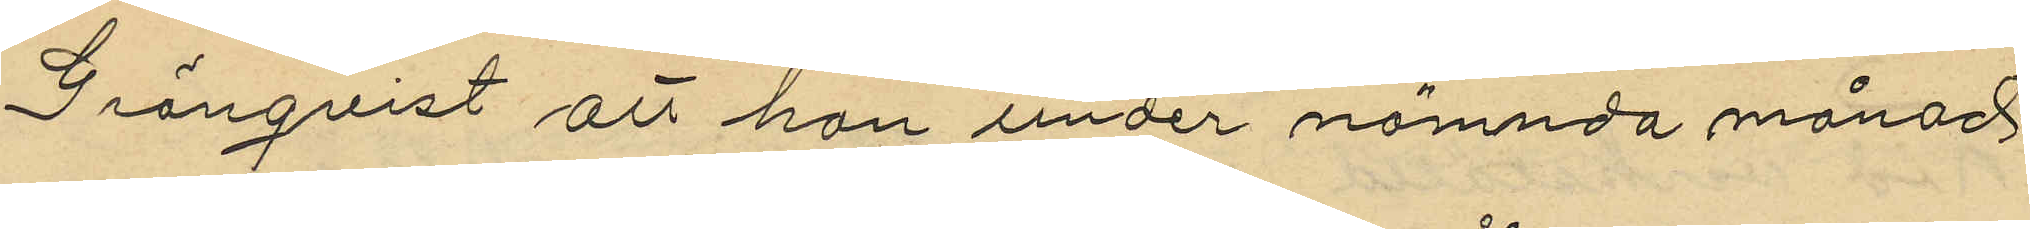Grönqvist att hon under nämnda månad
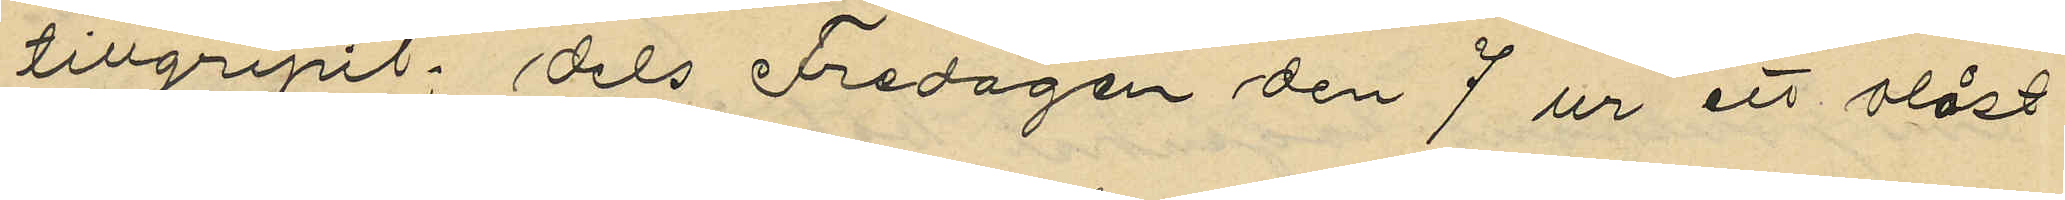tillgripit dels Fredagen den 7 ur ett olåst
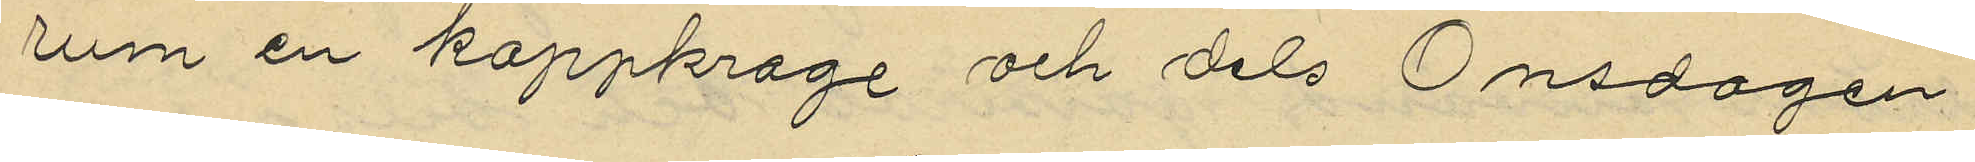rum en kappkrage och dels Onsdagen
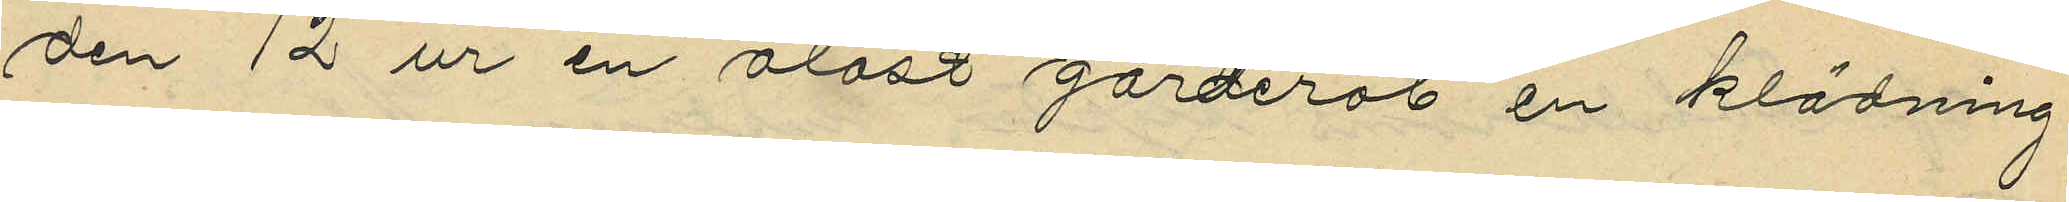den 12 ur en olåst garderob en klädning
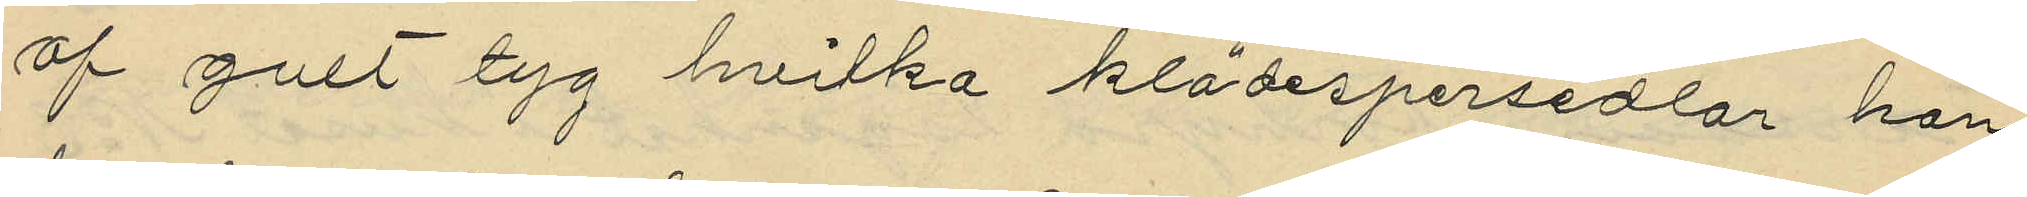af gult tyg hvilka klädespersedlar hon
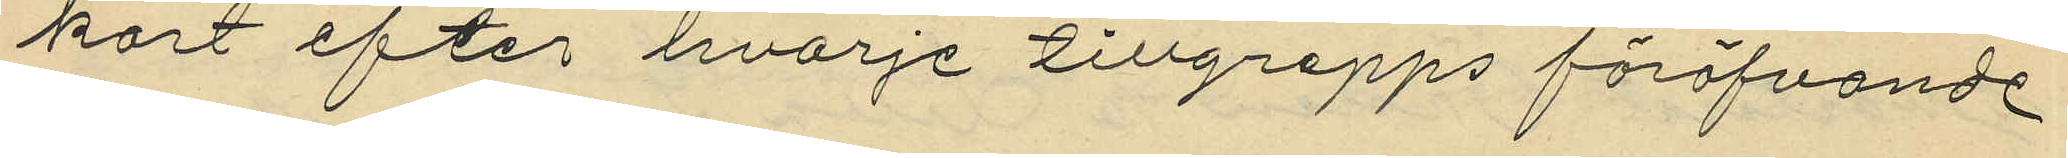kort efter hvarje tillgrepps föröfvande
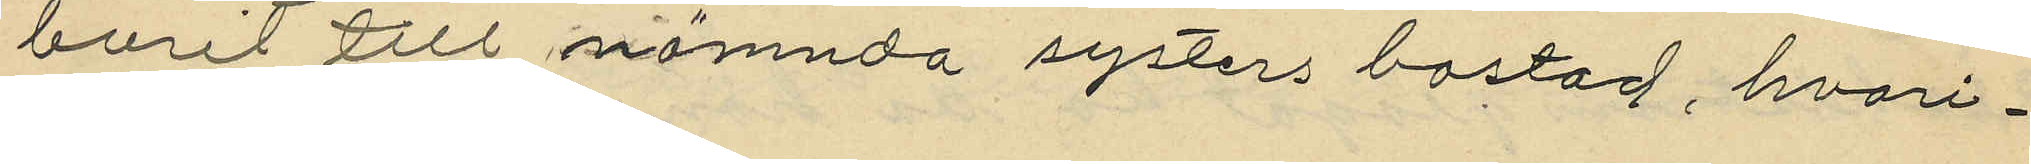burit till nämnda systers bostad, hvari¬
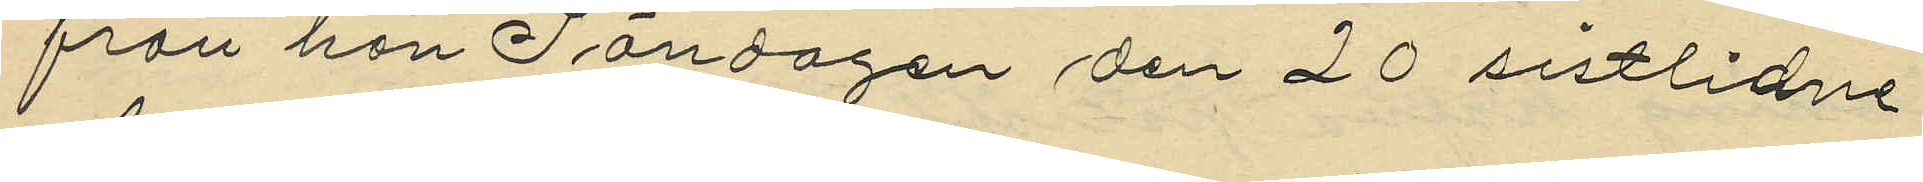från hon Söndagen den 20 sistlidne
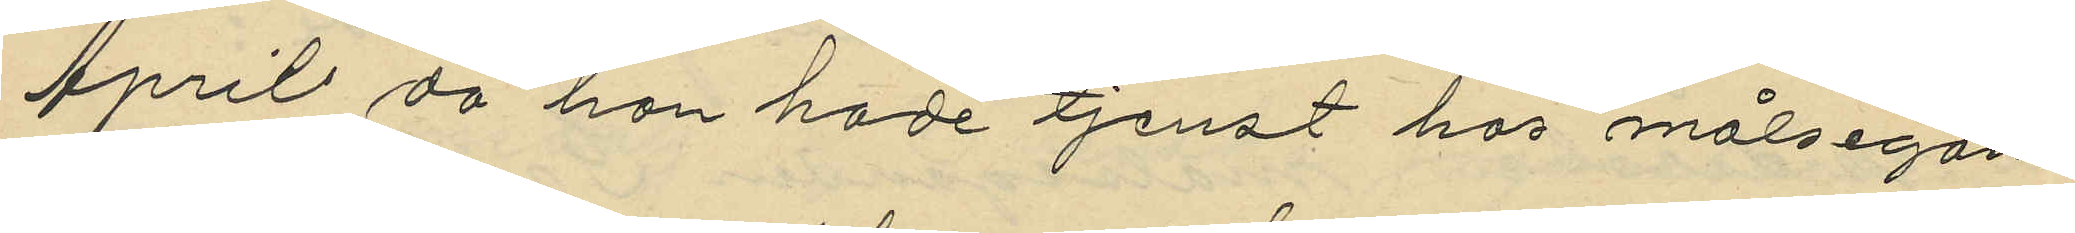April då hon hade tjenst hos målsegan¬
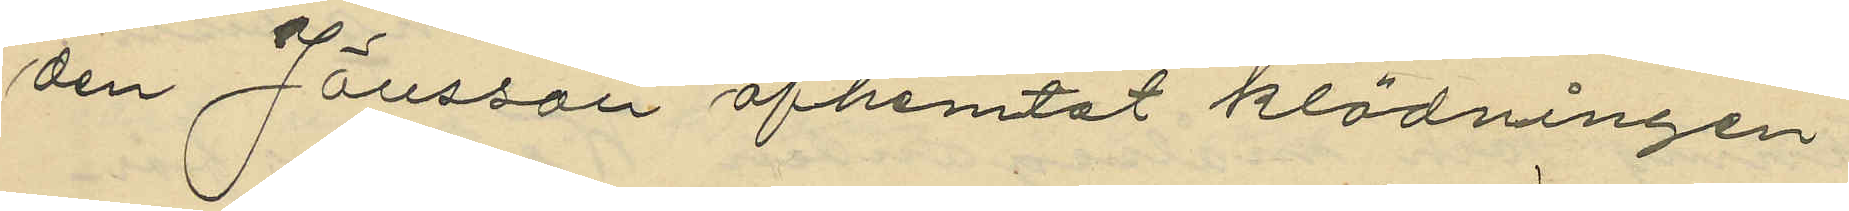den Jönsson afhemtat klädningen
